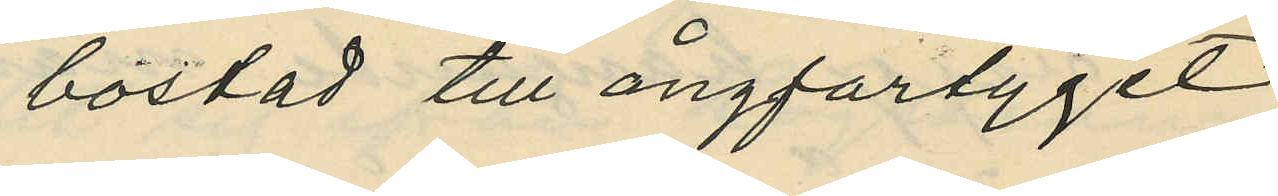bostad till ångfartyget
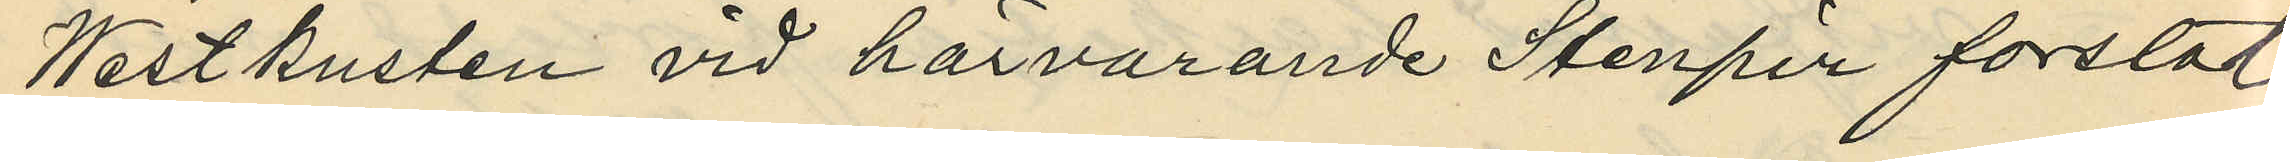Westkusten vid härvarande Stenpir forslat
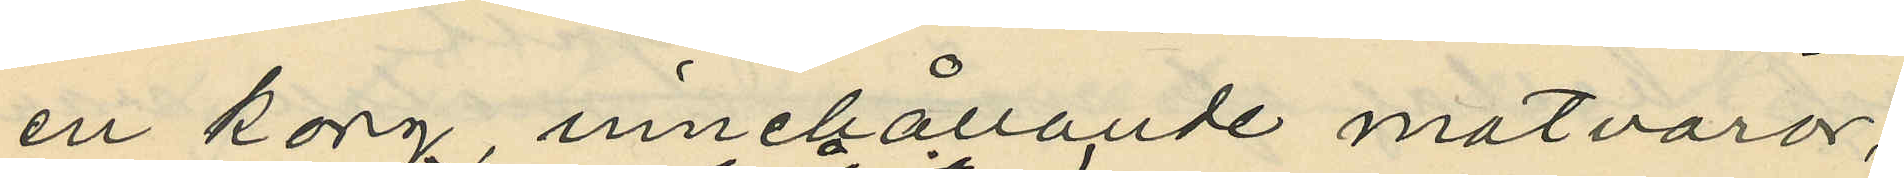en korg innehållande matvaror;
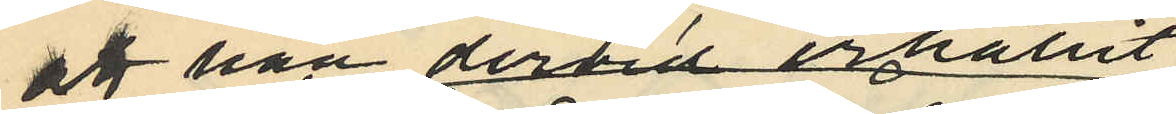att han dervid erhållit
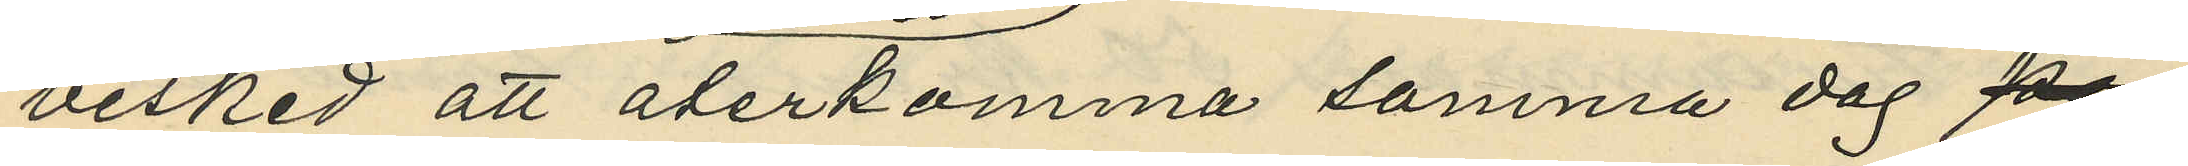besked att återkomma samma dag
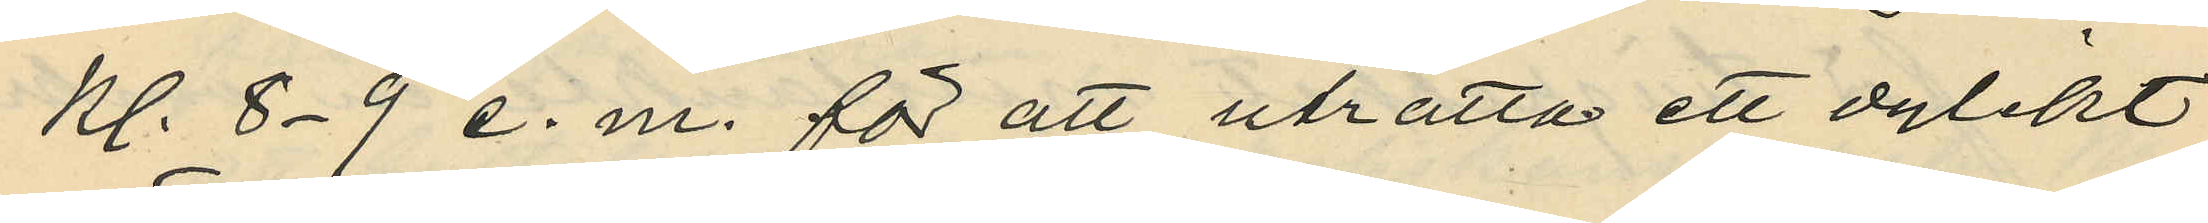kl. 8-9 e. m. för att uträtta ett dylikt
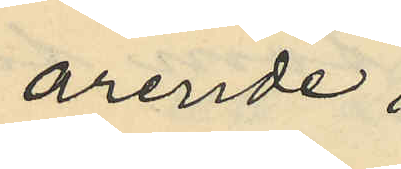ärende;
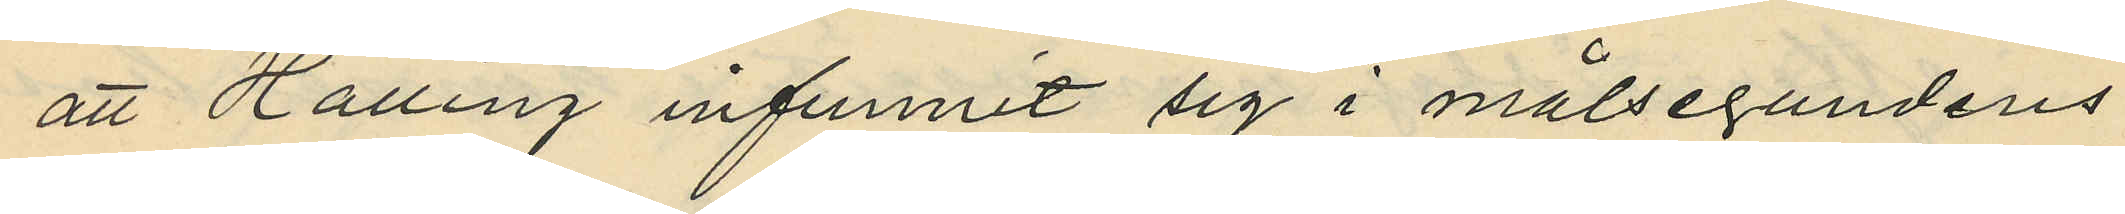att Halling infunnit sig i målsegandens
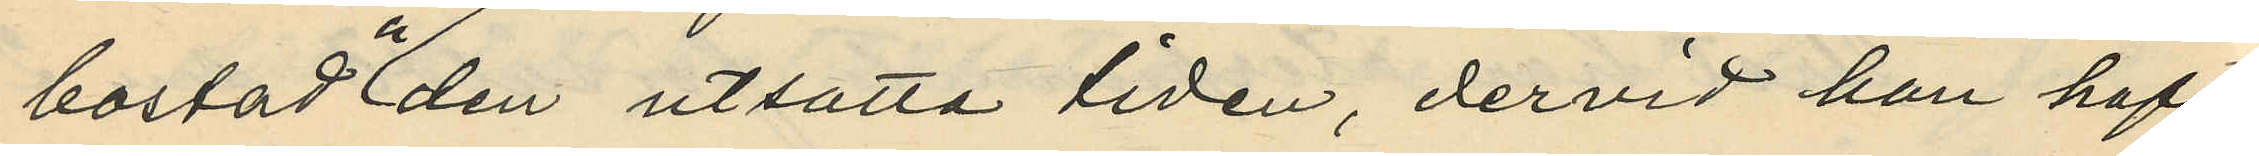bostad å den utsatta tiden, dervid han haft
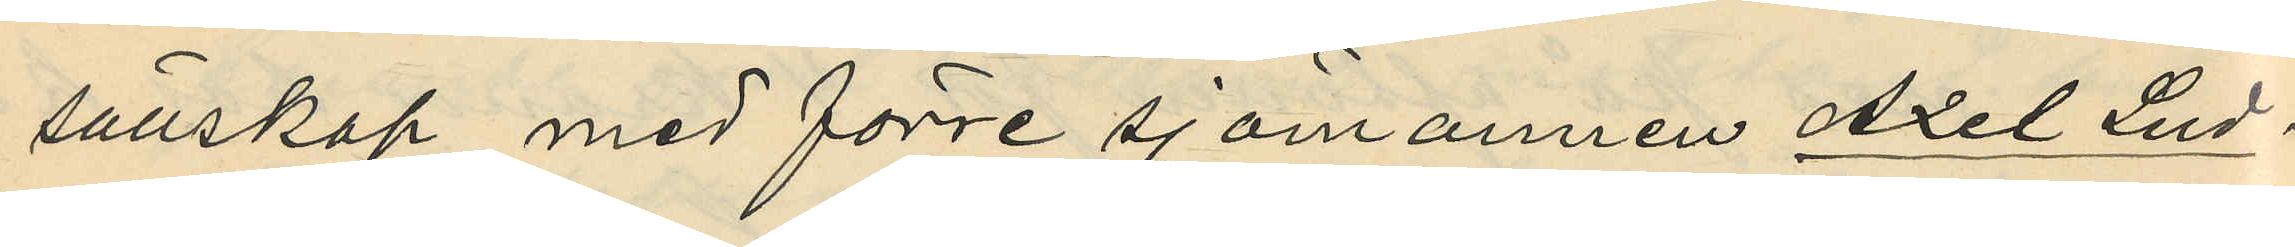sällskap med förre sjömannen Axel Lud¬
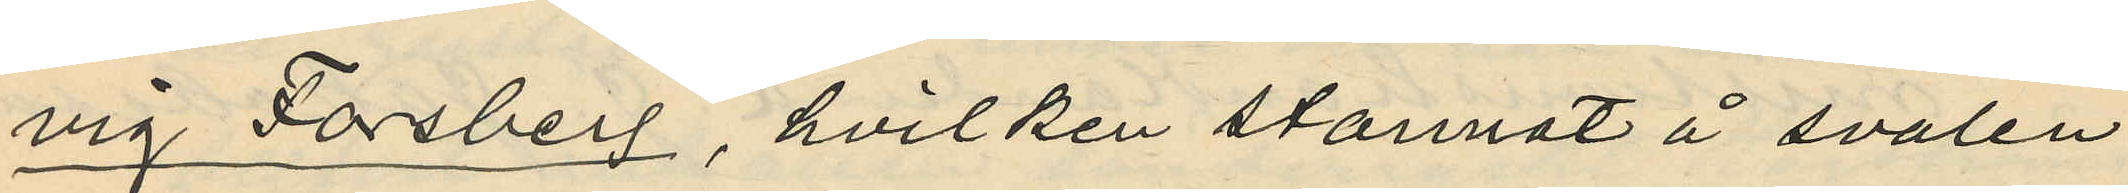vig Forsberg, hvilken stannat å svalen
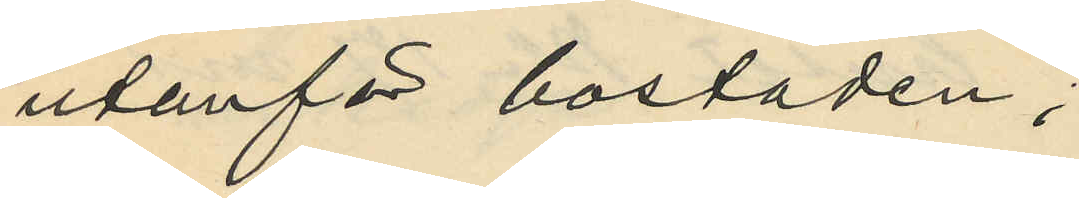utanför bostaden;
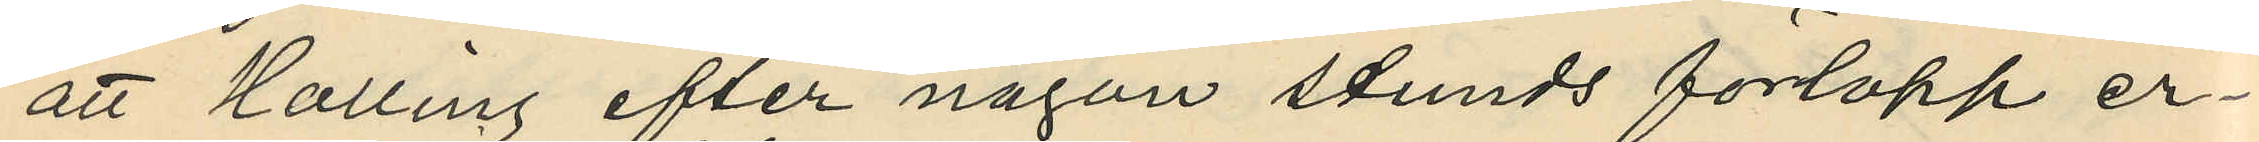att Halling efter någon stunds förlopp er¬
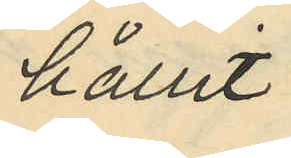hållit
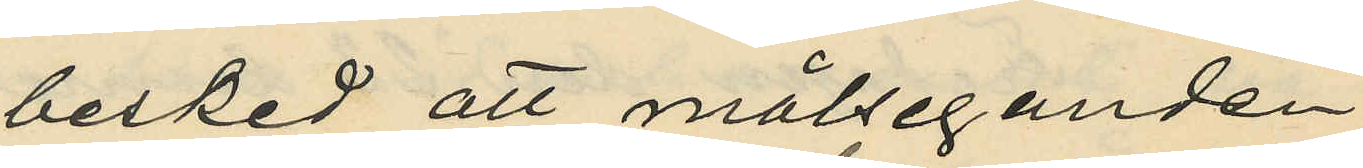besked att målseganden
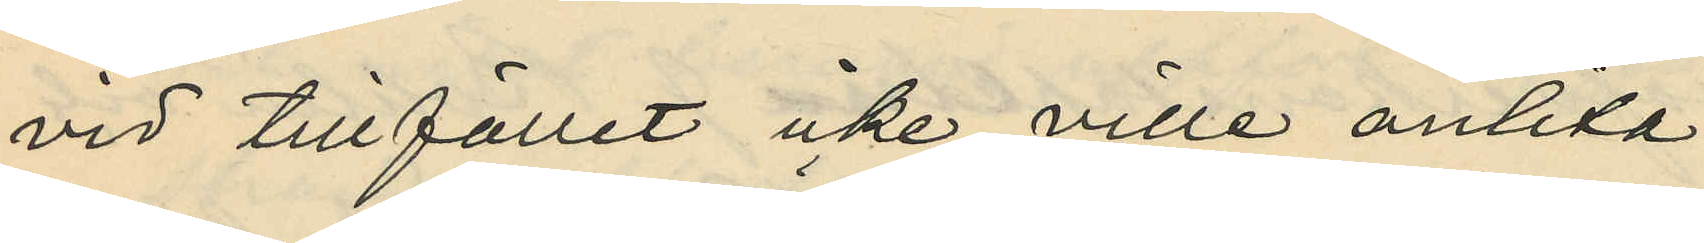vid tillfället icke ville anlita
